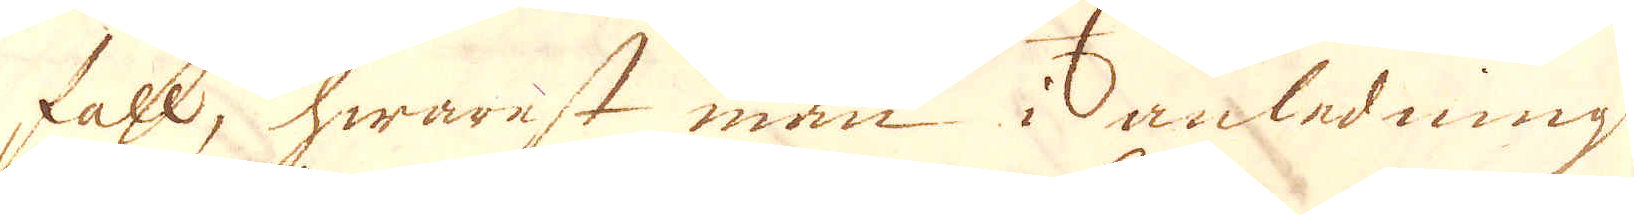fall, hwarest man i anledning
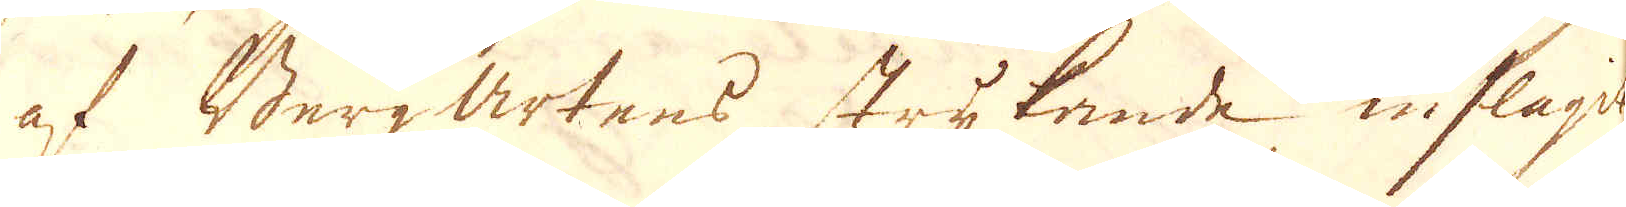af Bergartens strykande inslagit
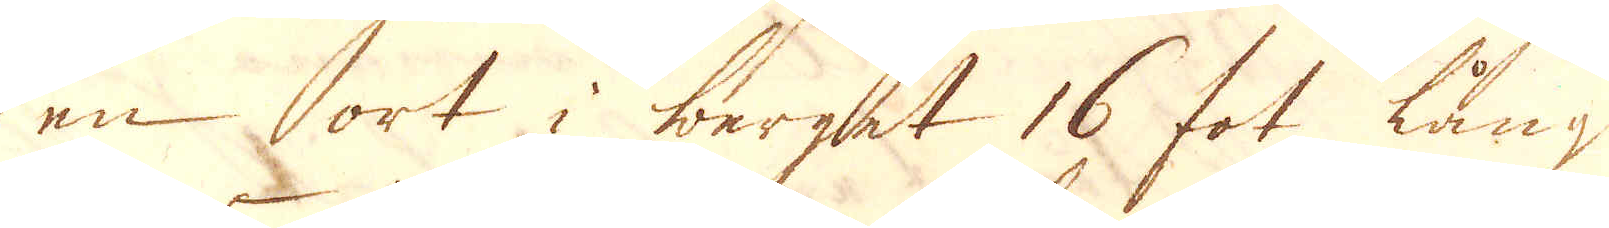en ort i berget 16 fot lång
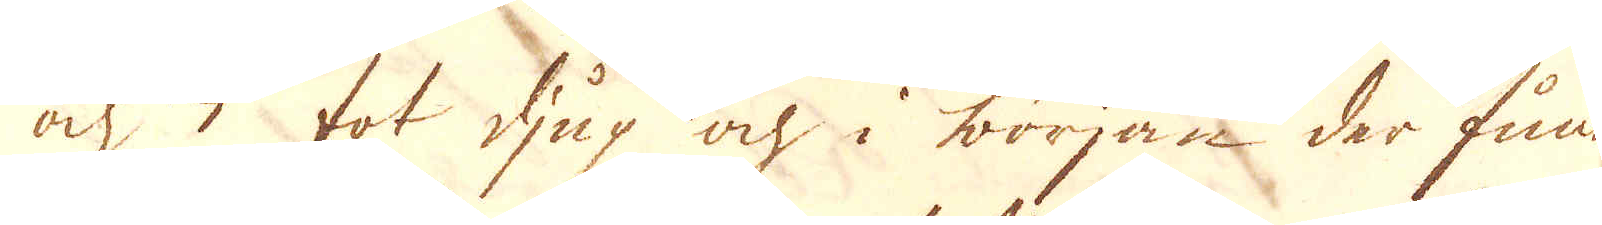och 3 fot djup ok i början der funnit
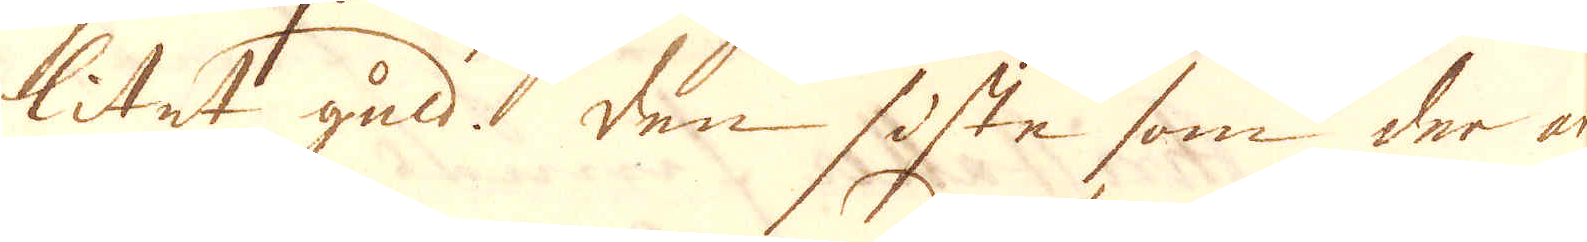litet guld. Den siste som der ar-
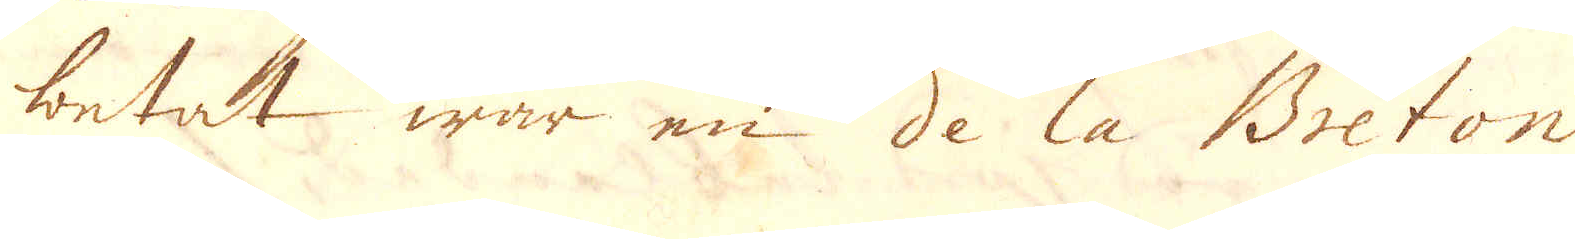betat war en de la Breton-
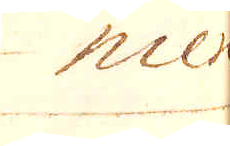niere
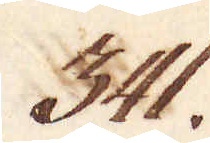541.
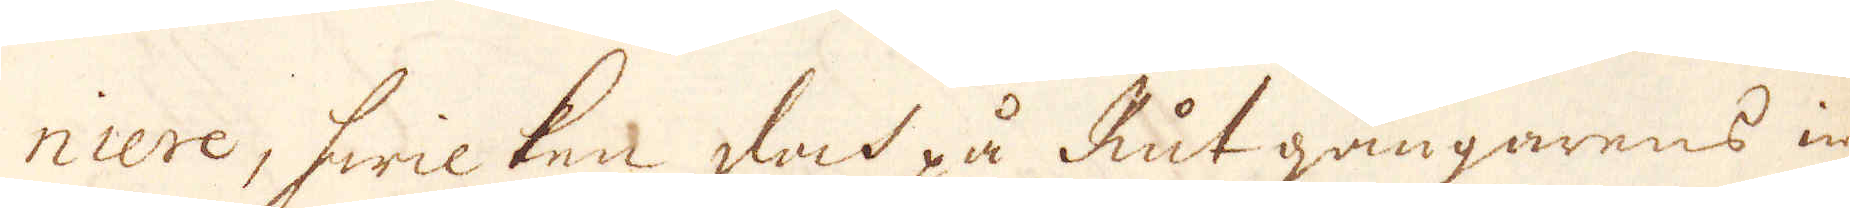niere, hwilken doch på Rut gängarnes in-
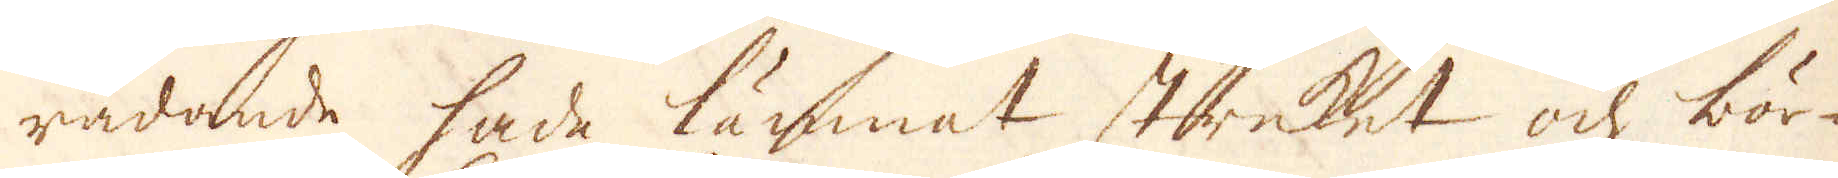rådande hade lämnat streket ock bör-
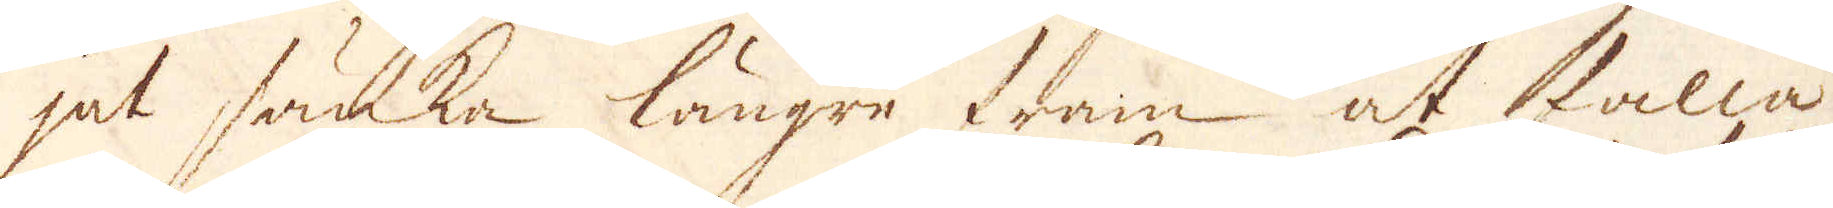jat sänka längre fram at falla
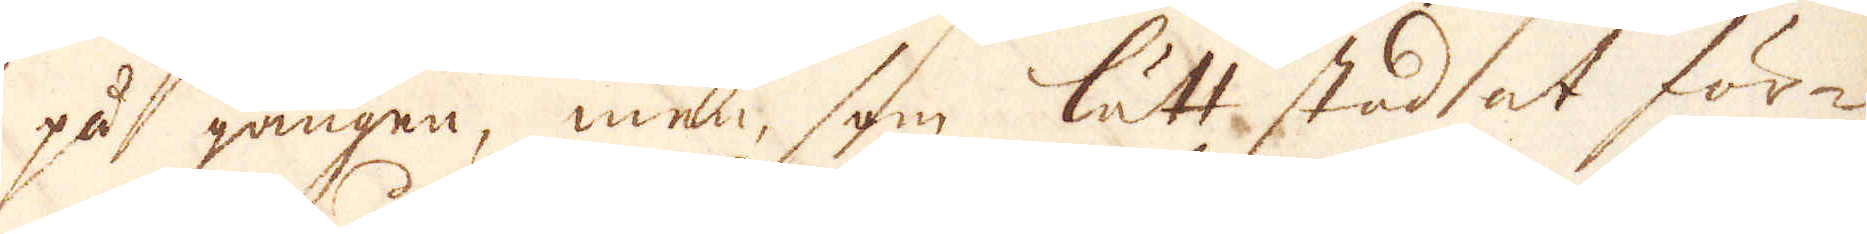på gången, men som lätt stod at för-
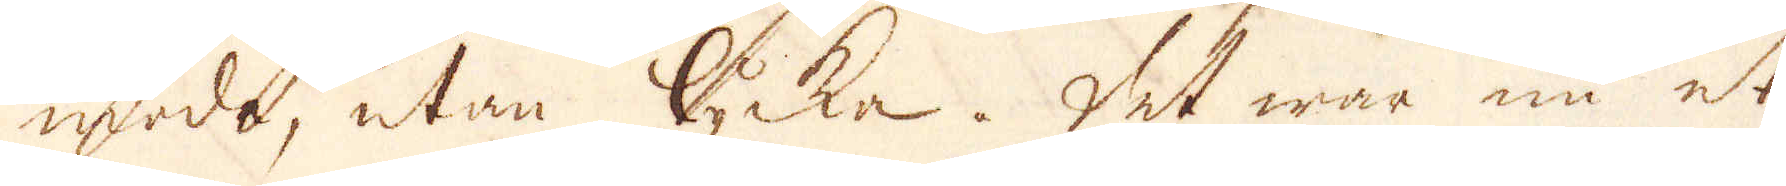moda, utan lycka. Det war nu et
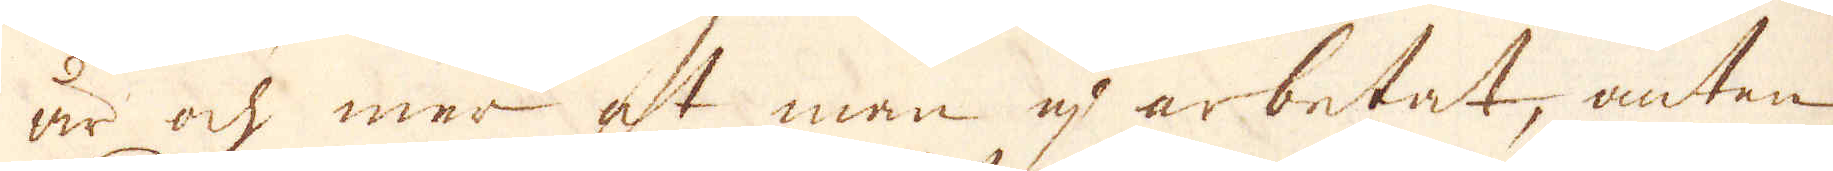år och mer at man up arbetat, antan
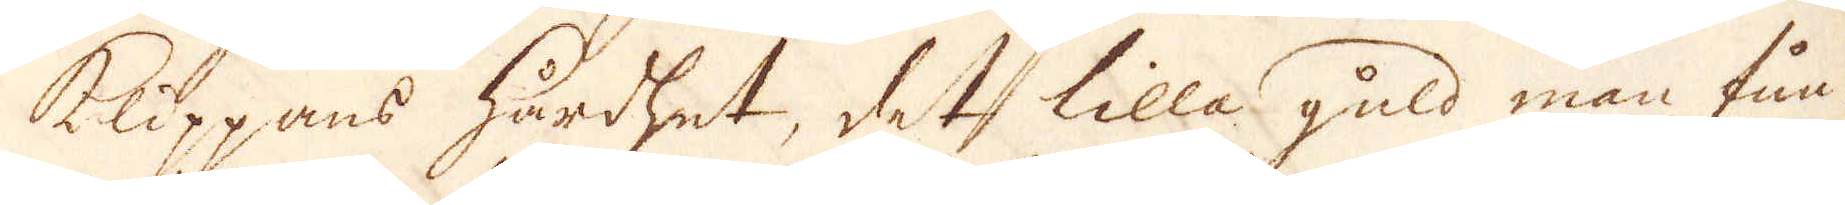klippans hårdhed, det lilla guld man fun-
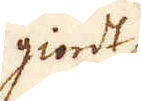giordt
